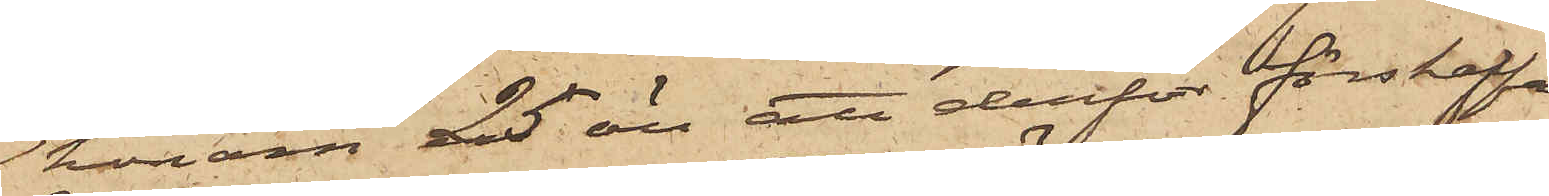honom 25 öre att derför förskaffa
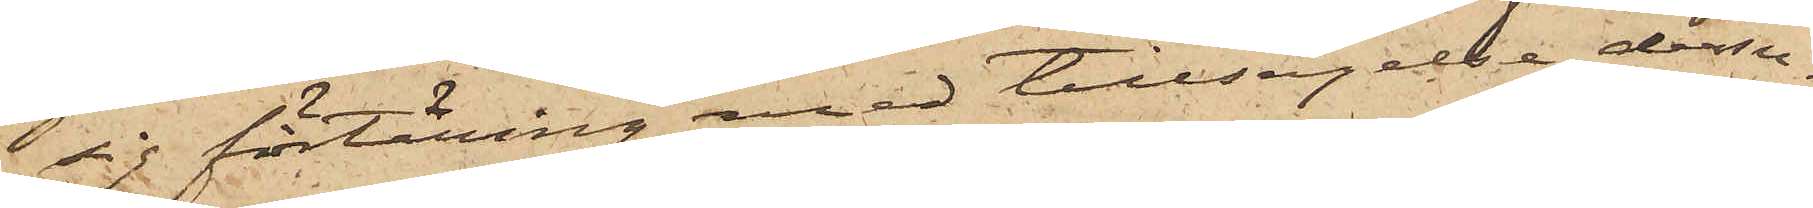sig förtäring med tillsägelse dessu¬
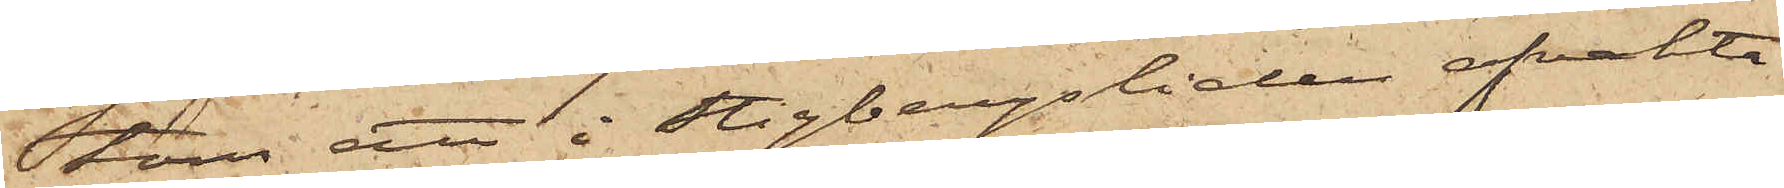tom att i Stigbergsliden afvakta
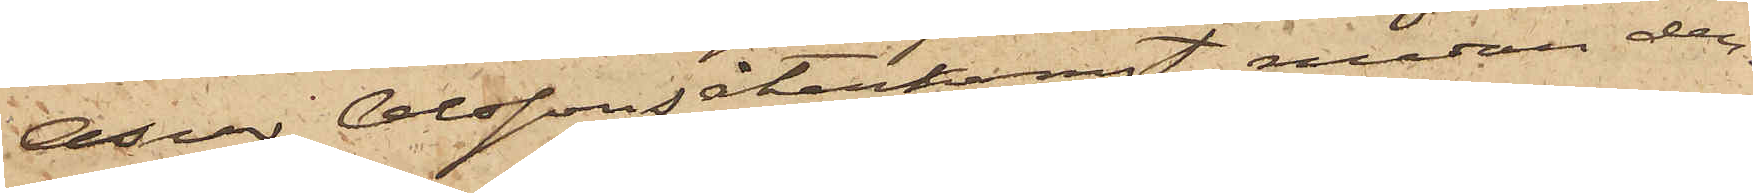Oscar Olssons återkomst, medan den¬
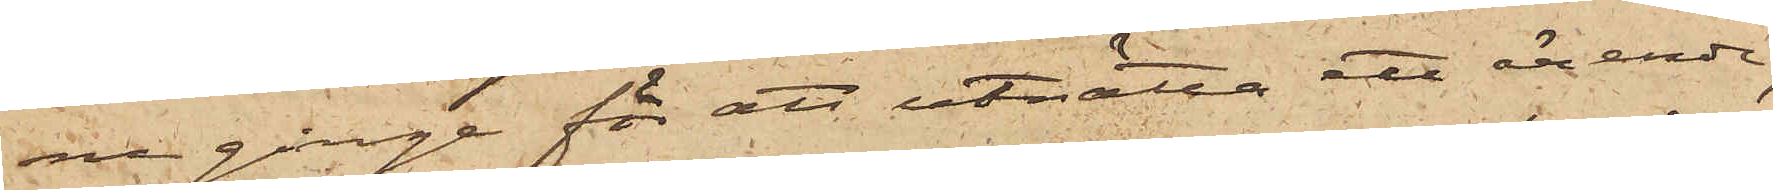ne ginge för att uträtta ett ärende;
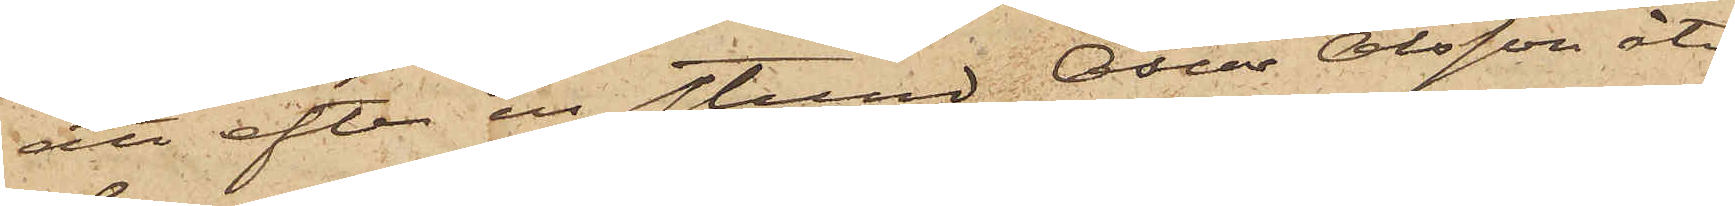att efter en stund Oscar Olsson åter¬
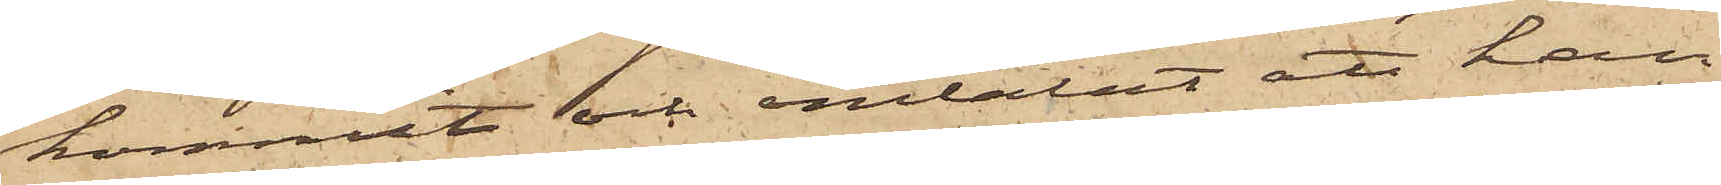kommit och omtalat att han
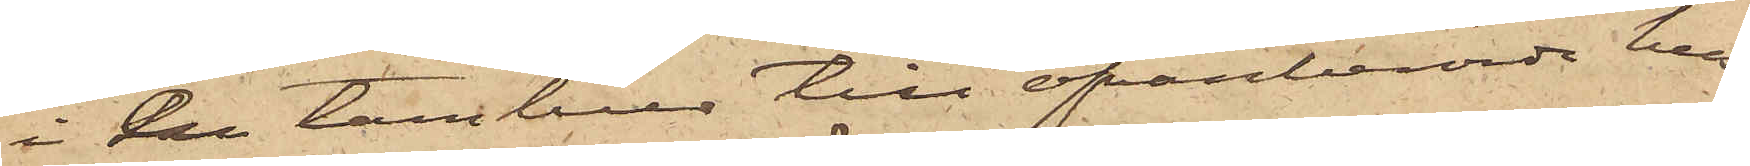i en tambur till ofvanberörde hus
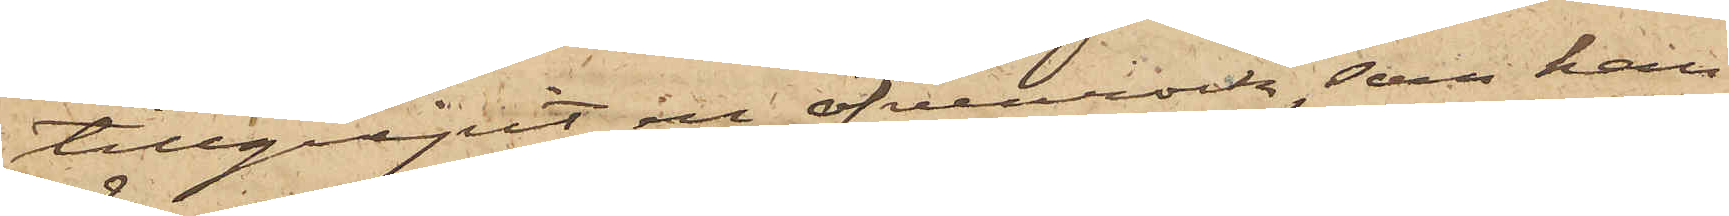tillgripit en öfverrock, som han
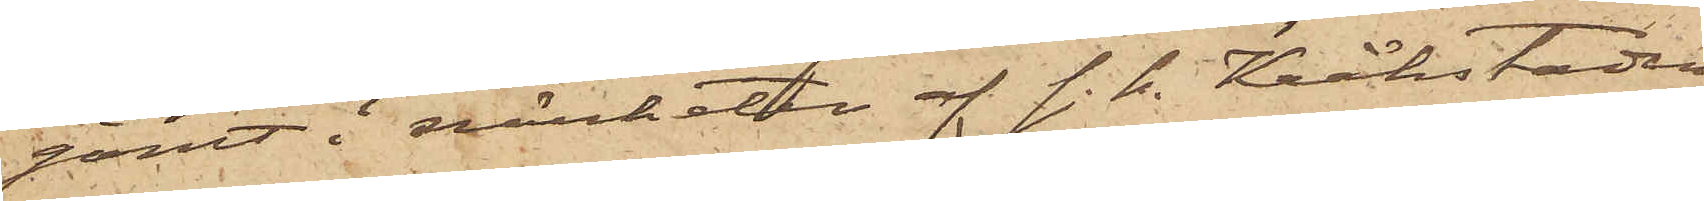gömt i närheten af s.k. Kråkstaden
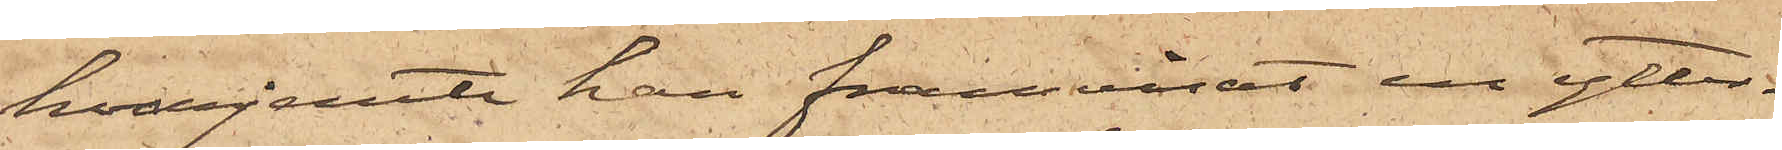hvarjemte han framvisat en ytter¬
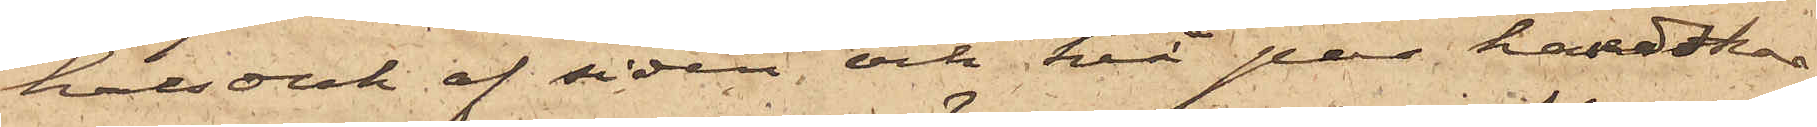halsduk af siden och två par handskar
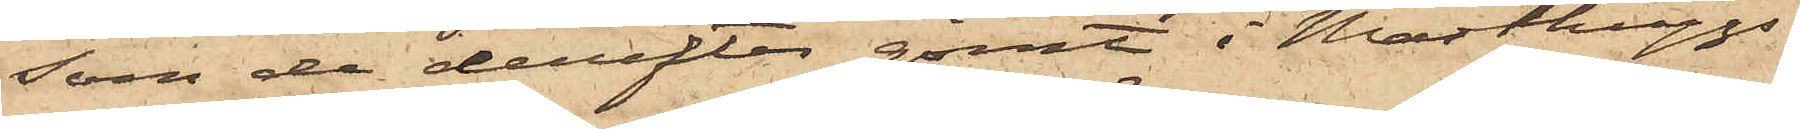som de derefter gömt i Masthuggs¬
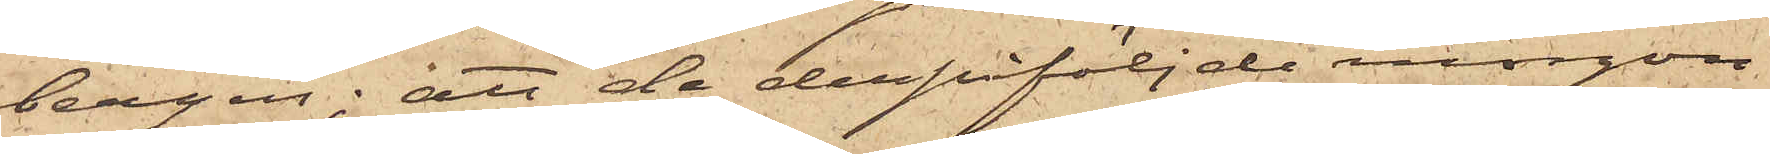bergen; att de derpåföljde morgon
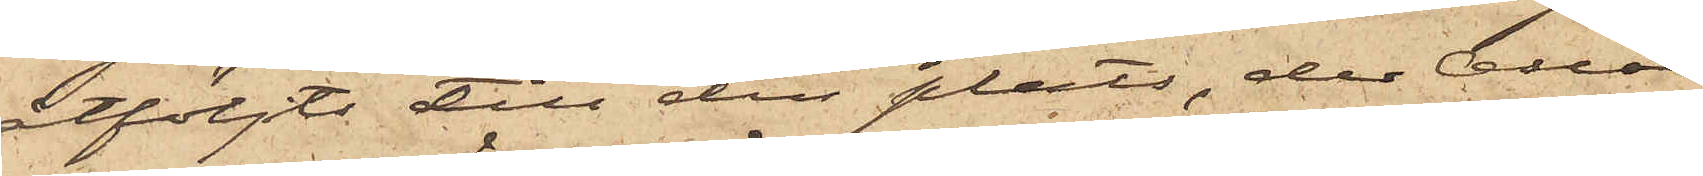åtföljts till den plats, der Oscar
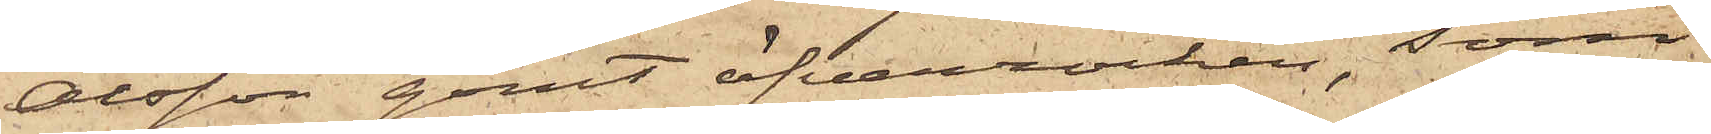Olsson gömt öfverrocken, som
